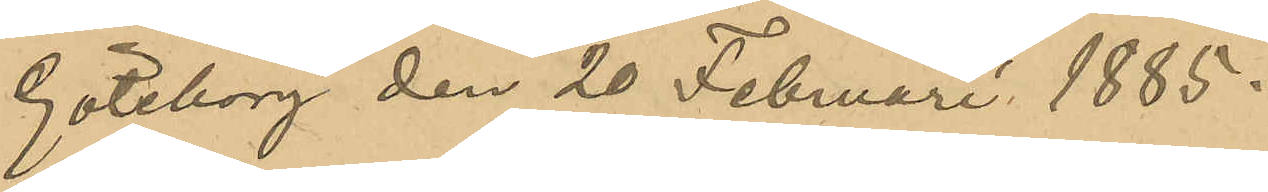Göteborg den 20 Februari 1885.
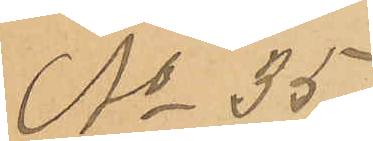No 35
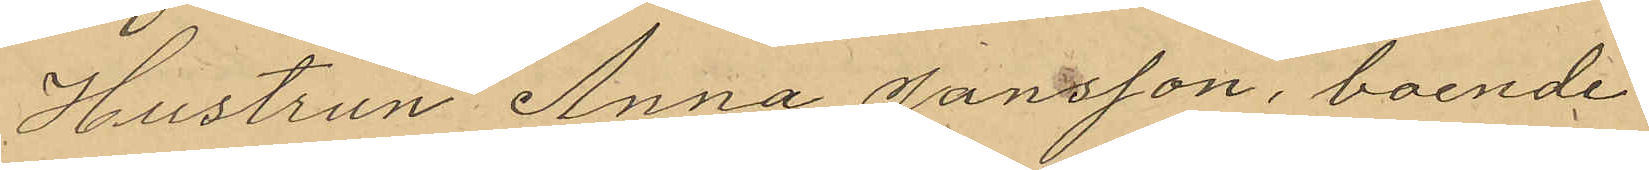Hustrun Anna Hansson, boende
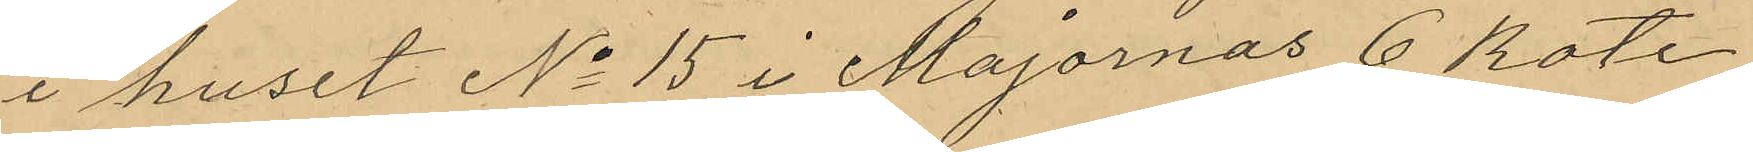i huset No 15 i Majornas 6 Rote
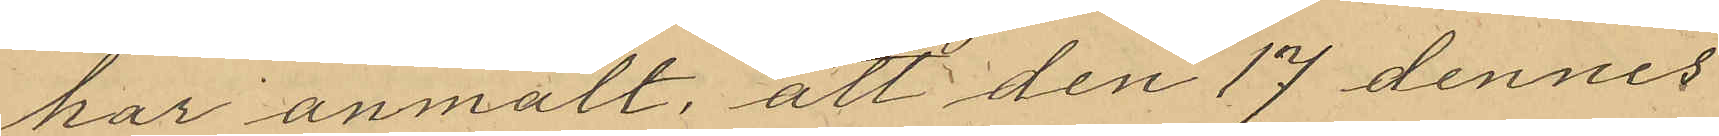har anmält, att den 17 dennes
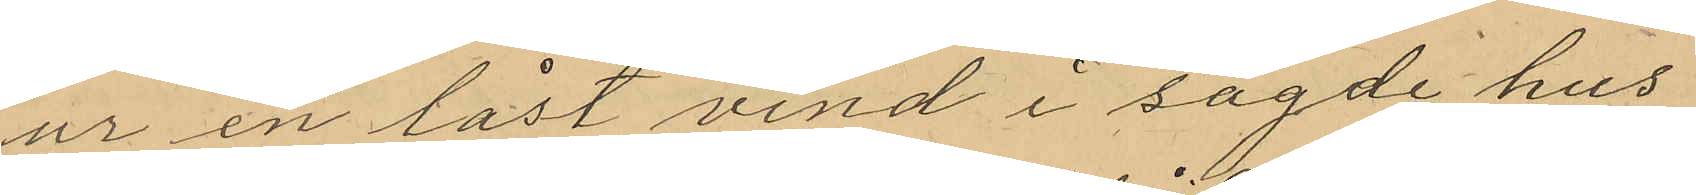ur en låst vind i sagde hus
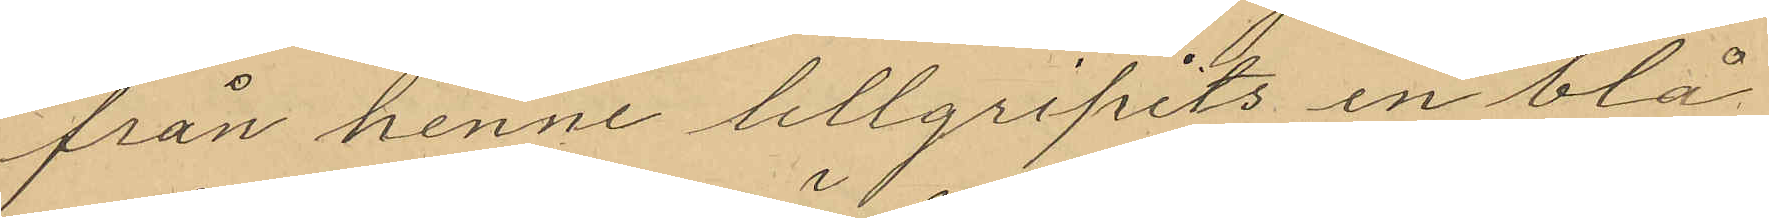från henne tillgripits en blå
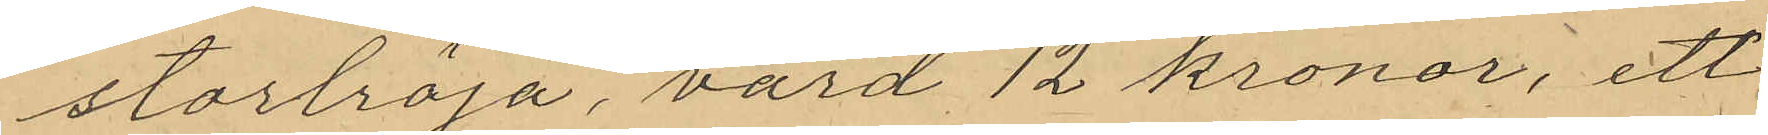stortröja, värd 12 kronor, ett
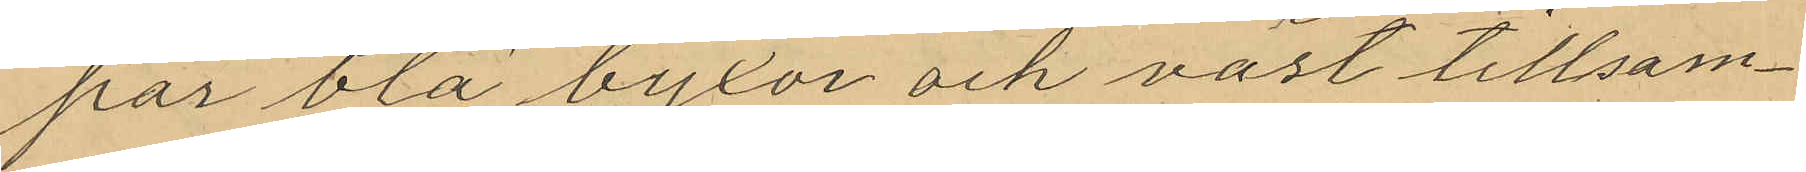par blå byxor och väst tillsam¬
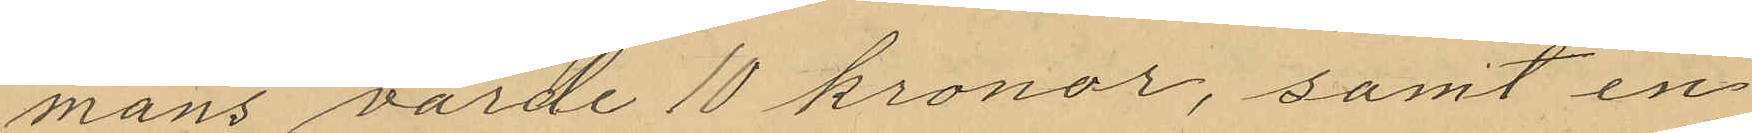mans värde 10 kronor, samt en
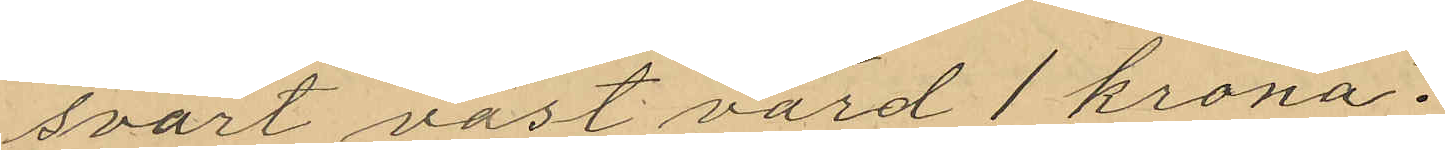svart väst värd 1 krona.
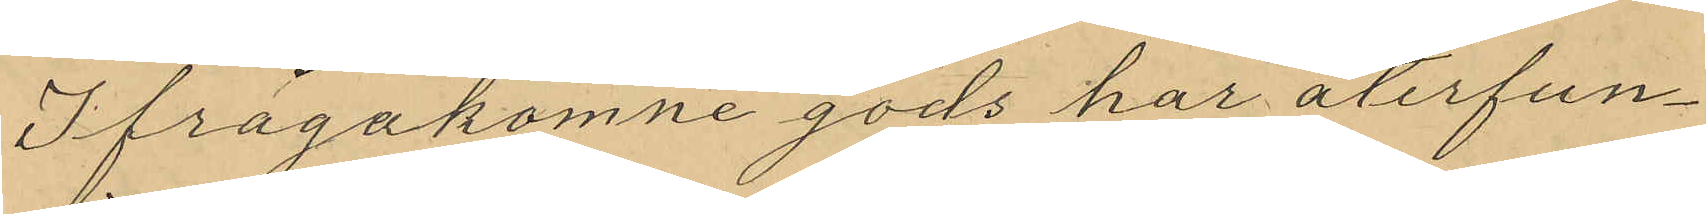Ifrågakomne gods har återfun¬
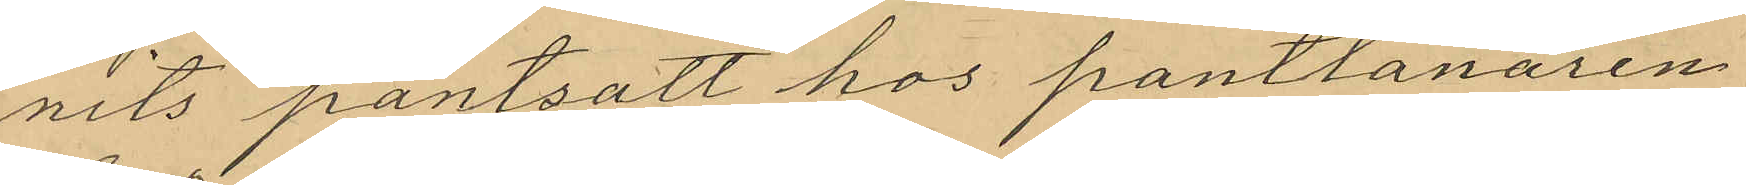nits pantsatt hos pantlånaren
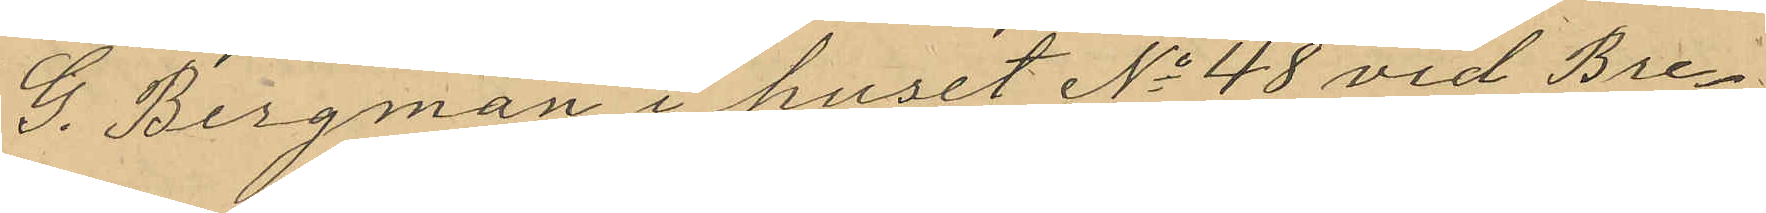G. Bergman i huset No 48 vid Bre¬
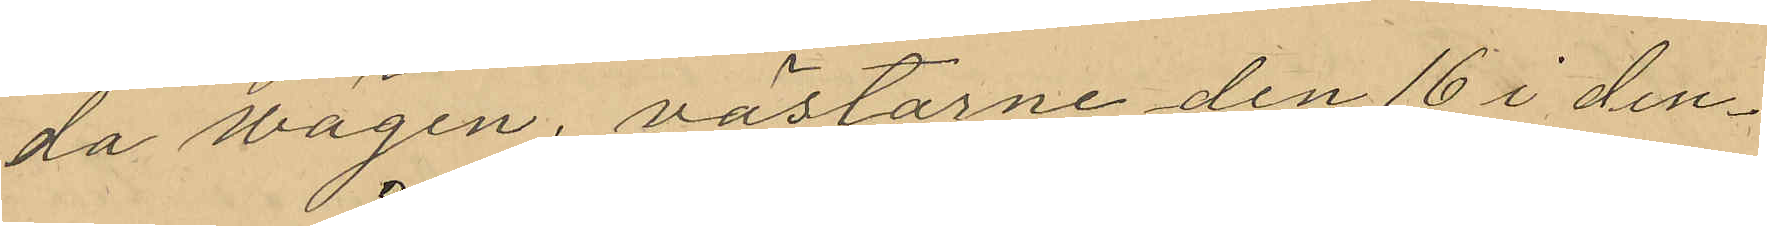da vägen, västarne den 16 i den¬
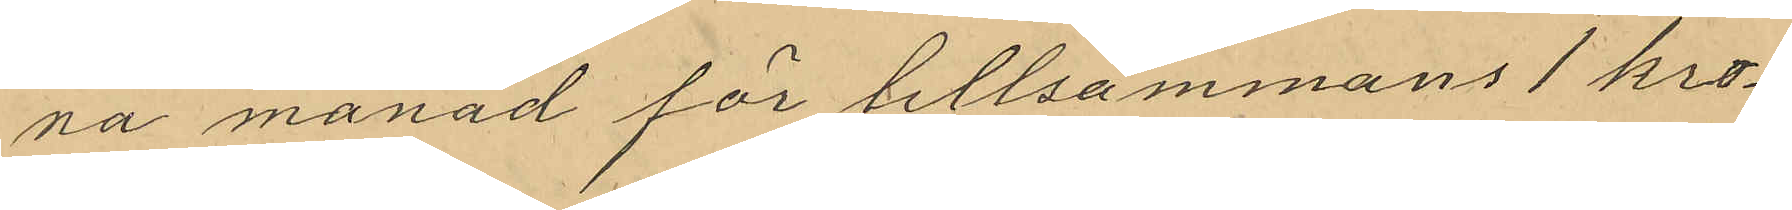na månad för tillsammans 1 kro¬
